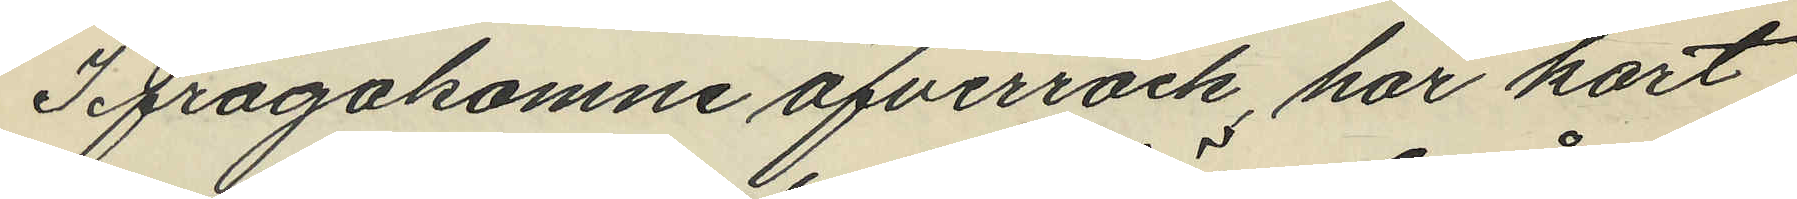Ifrågakomne öfverrock, har kort
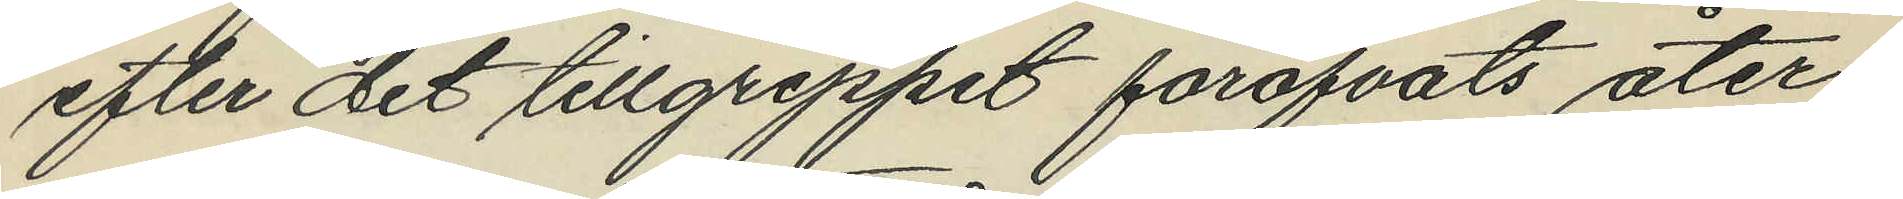efter det tillgreppet föröfvats åter¬
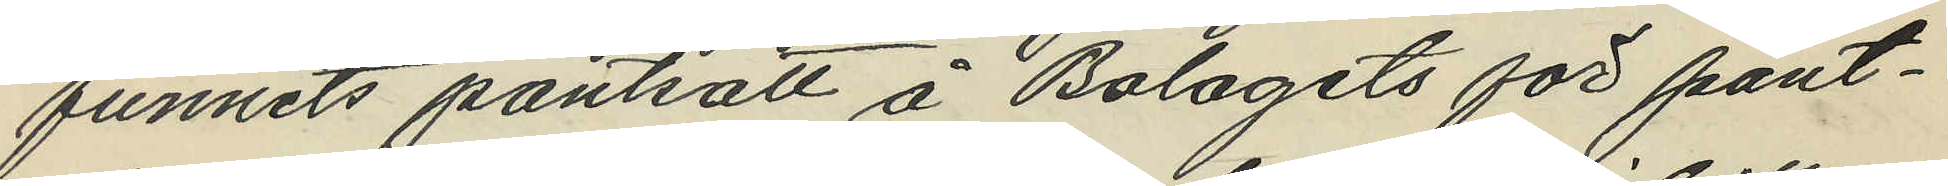funnits pantsatt å Bolagets för pant¬
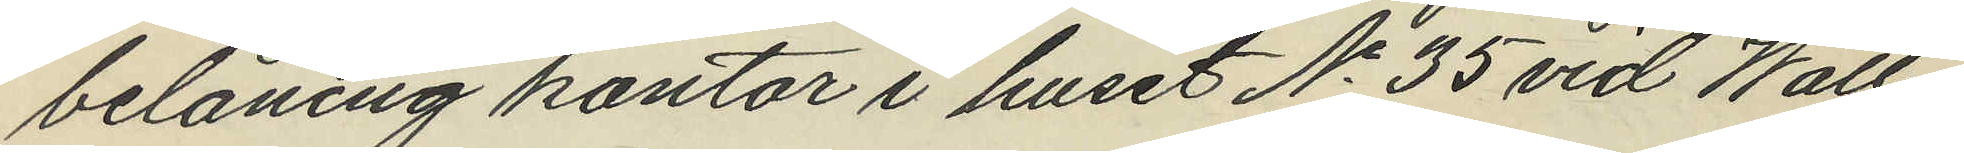belåning kontor i huset No 35 vid Wall¬
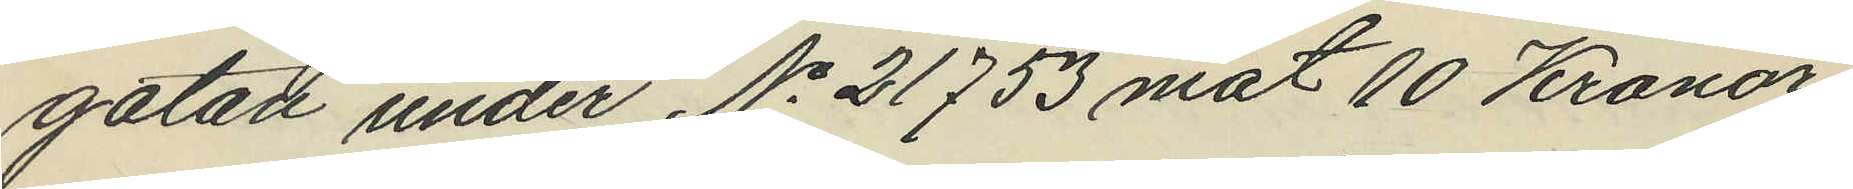gatan under No 21753 mot 10 Kronor
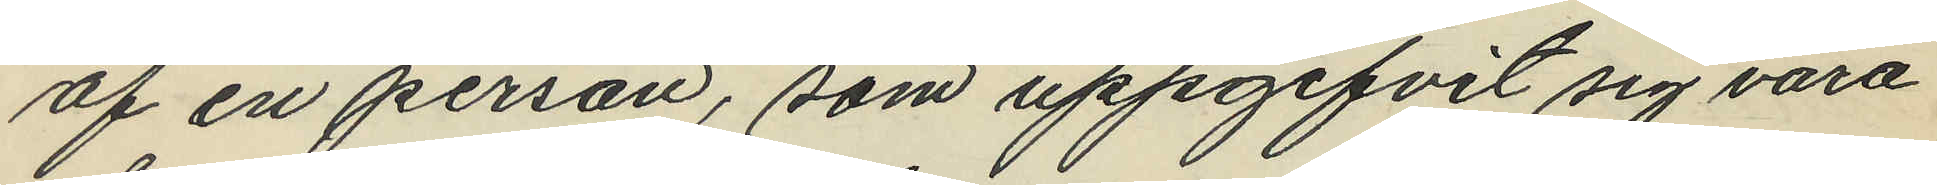af en person, som uppgifvit sig vara
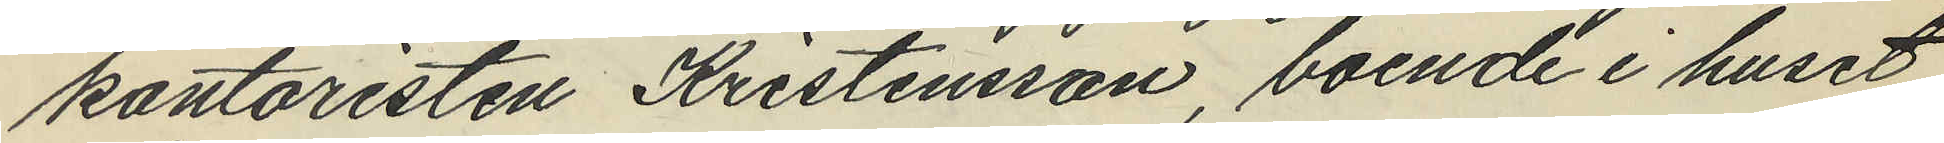kontoristen Kristensson, boende i huset
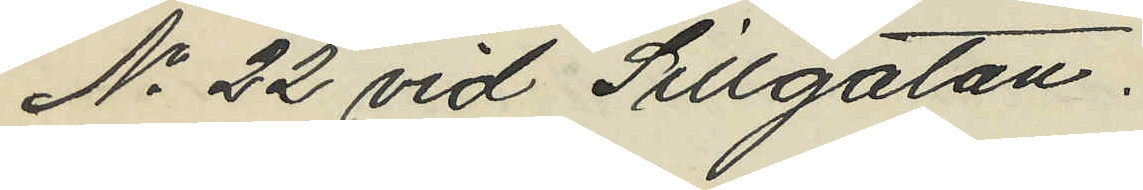No 22 vid Sillgatan.
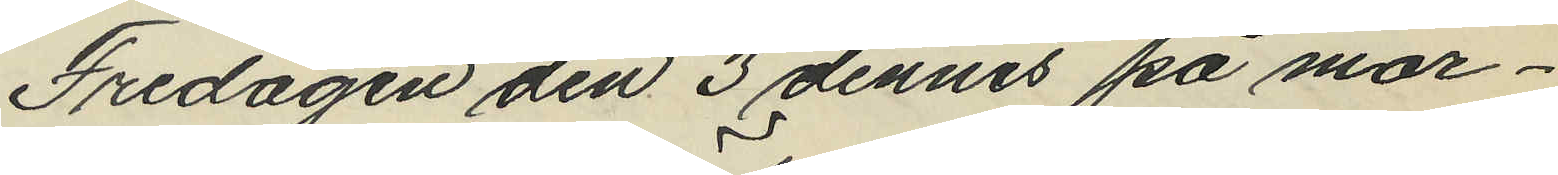Fredagen den 3 dennes på mor¬
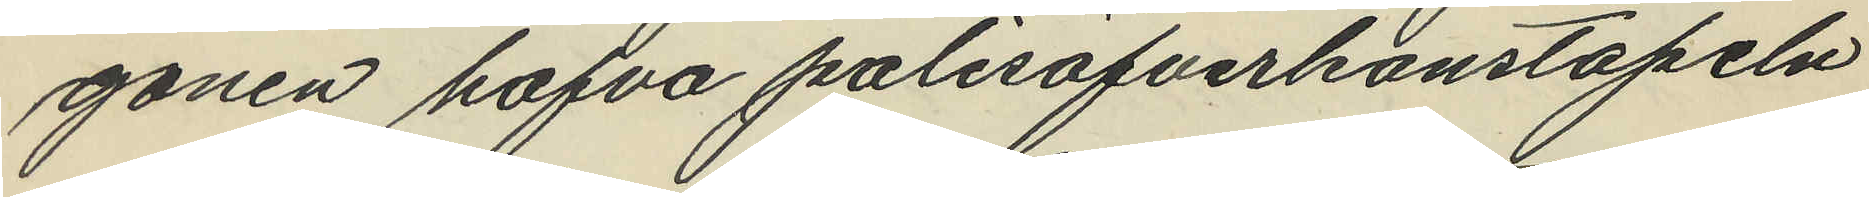gonen hafva polisöfverkonstapeln
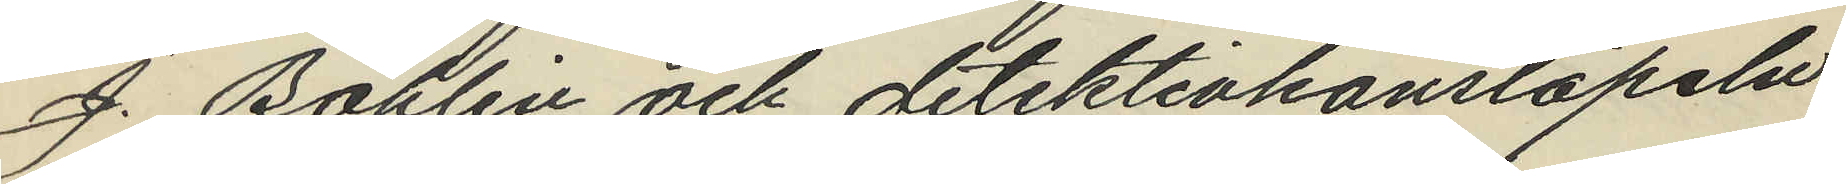J. Bohlin och detektivkonstapeln
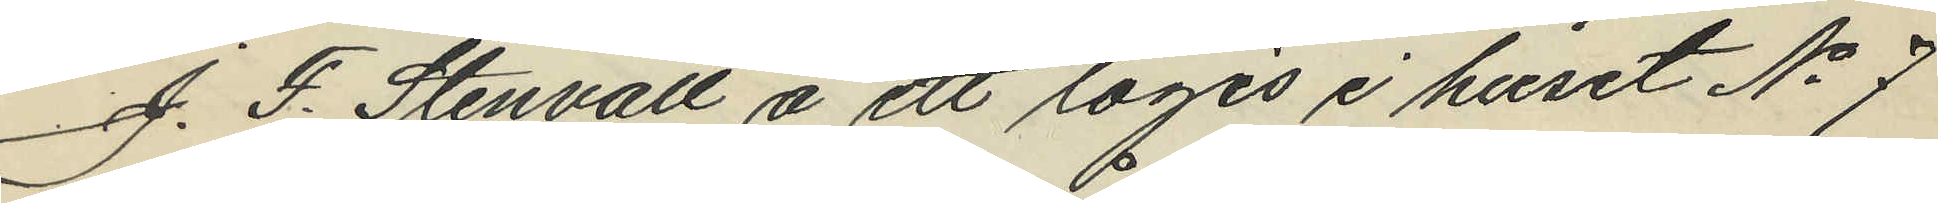J. F. Stenvall å ett logis i huset No 7
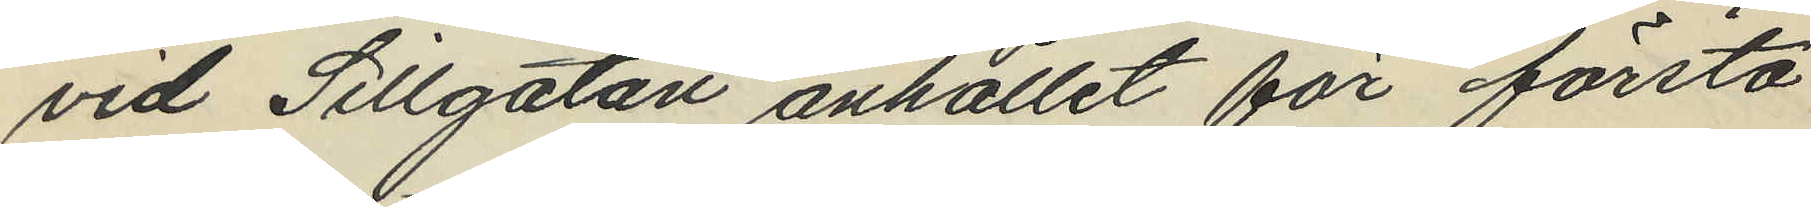vid Sillgatan anhållit för första
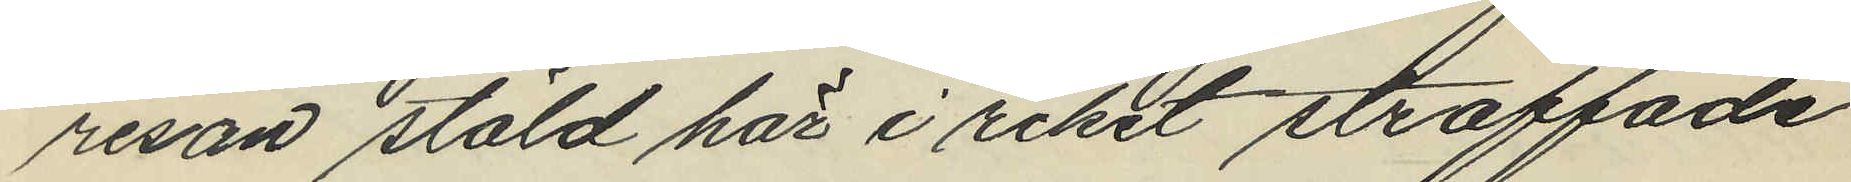resan stöld här i riket straffade
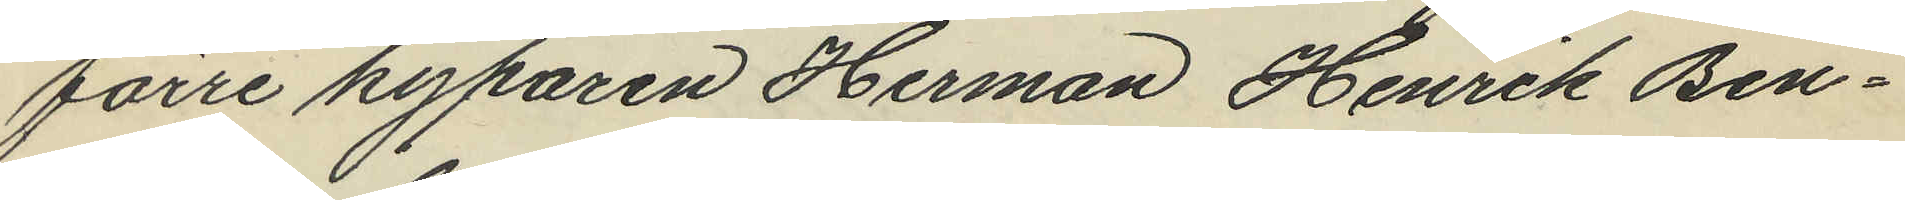förre kyparen Herman Henrik Ben¬
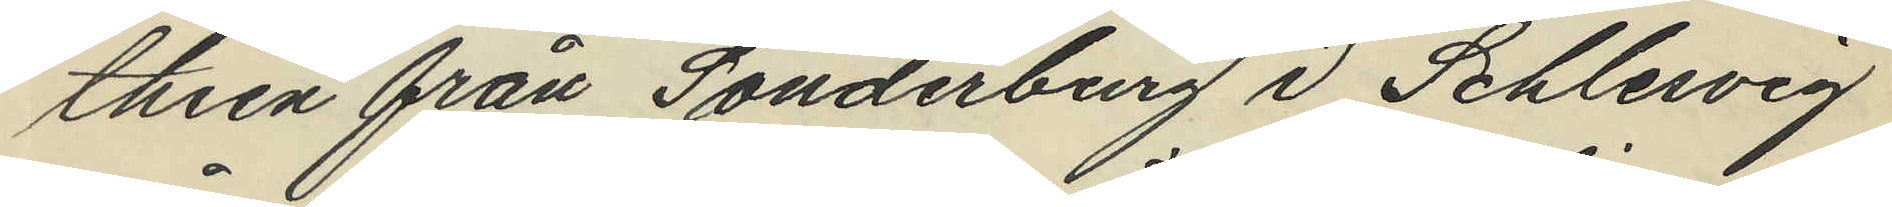thien från Sonderborg i Schlesvig
